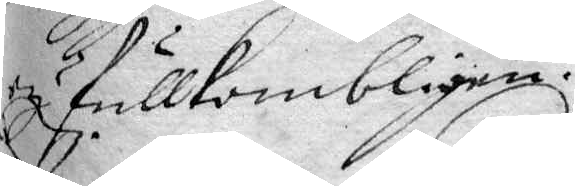ey fullkombligen.
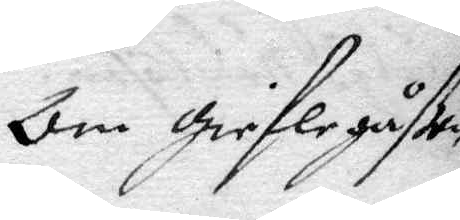Om gieflegåßen
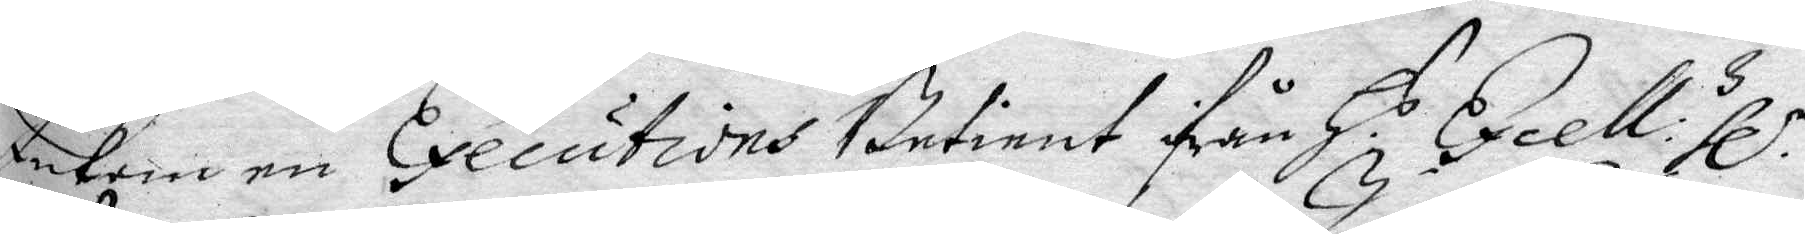Inkom en Executions Betient ifrån H.s Excell:s hl.
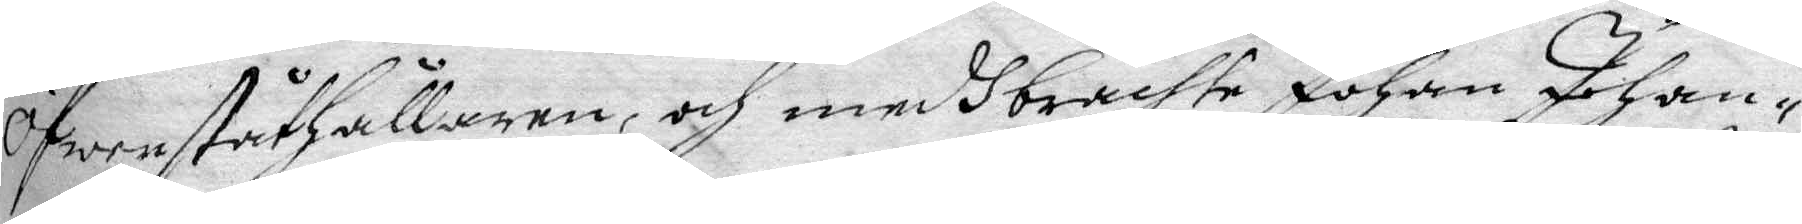Öfwerståthållaren, och medhbrachte Johan Johan¬
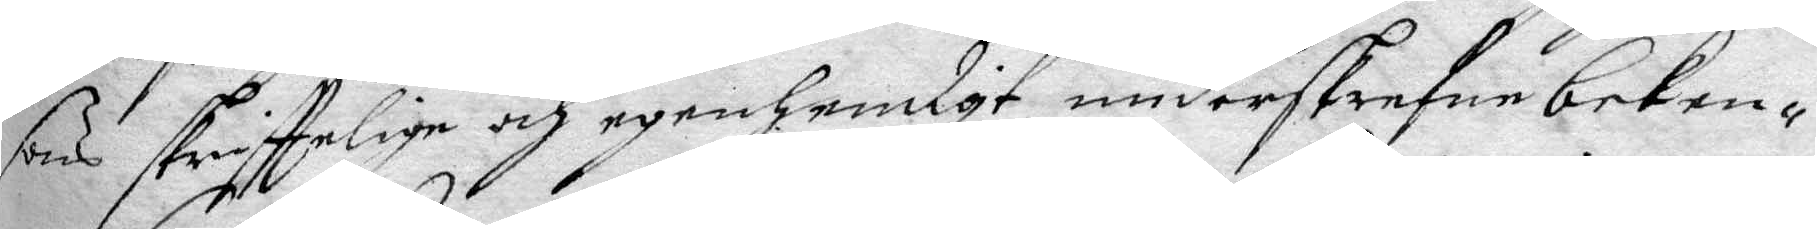sons skrifttelige och egenhendigt underskrefne beke¬
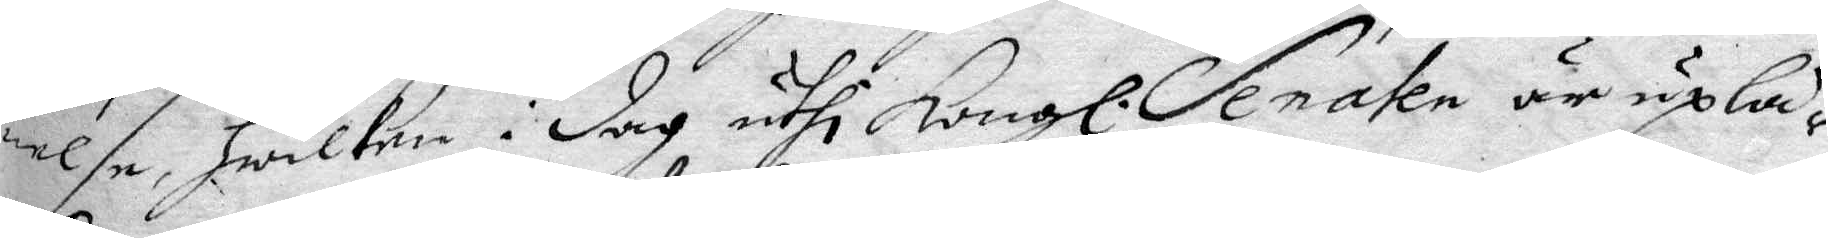nelse, hwilken i dag uthi Kongl. Senaten är uplä¬
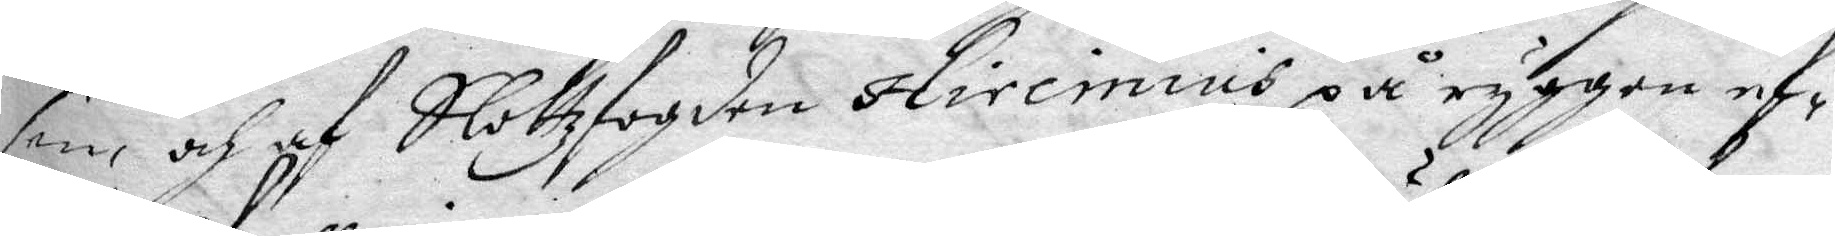sen, och af Slottzfogden Hireinius på ryggen ef¬
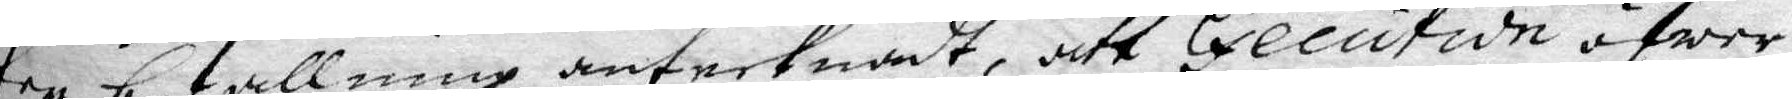ter befallning antecknadt, att Executide öfwer
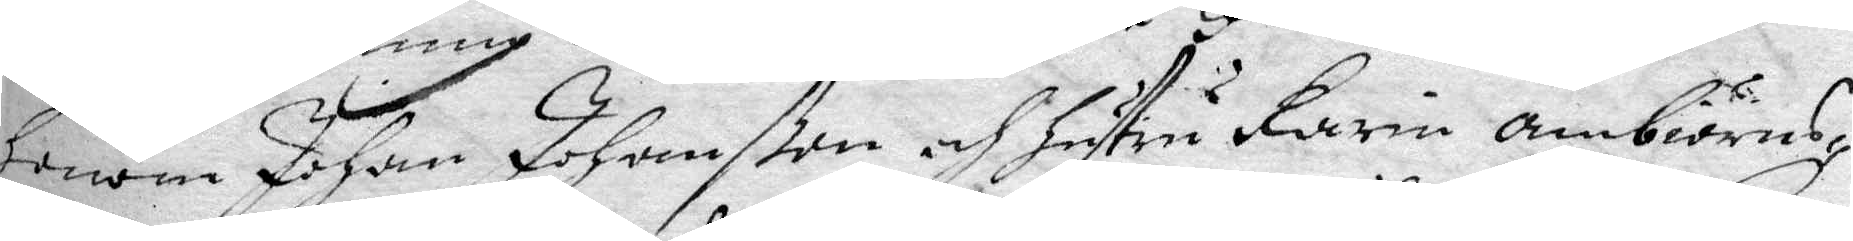honom Johan Johanßon och hustru Karin ambiörns¬
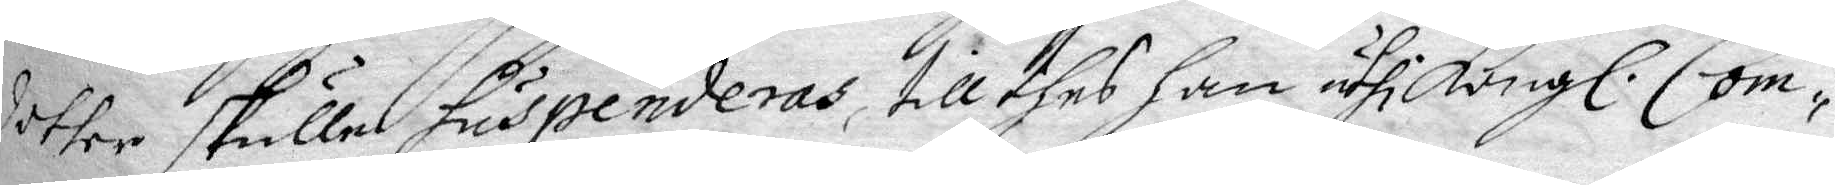dotter skulle suspenderas, till thes han uthi Kongl. Com¬
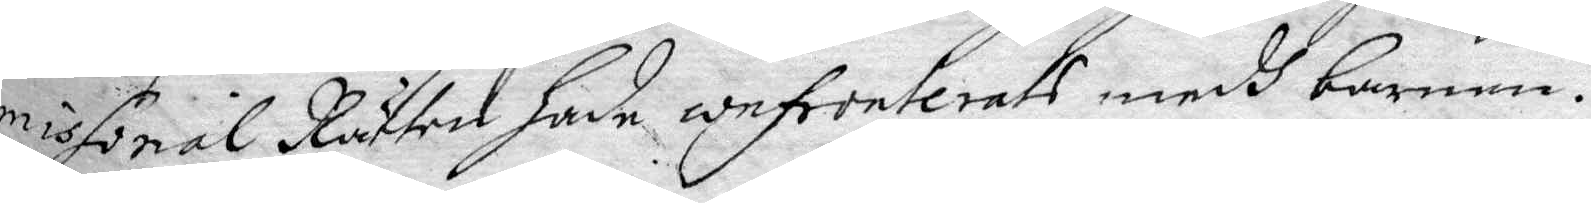missorial Rätten hade confronterats medh barnen.
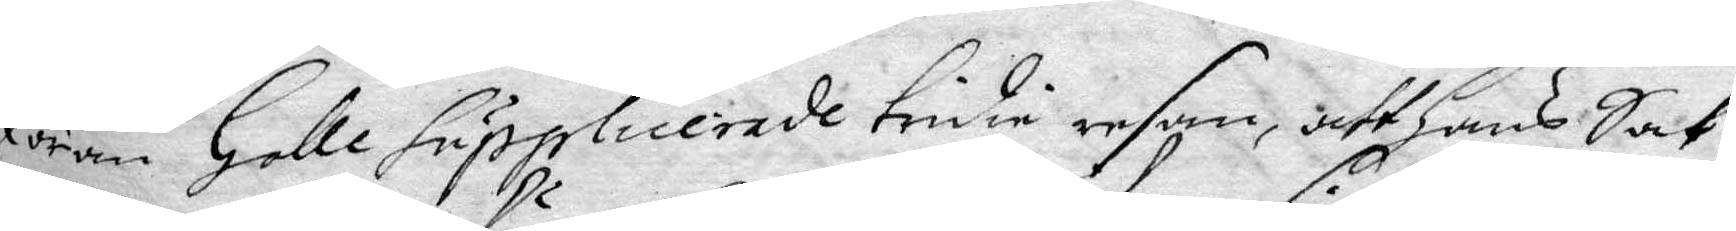Jöran Holle Supplicerade tridie resan, att hans Sak
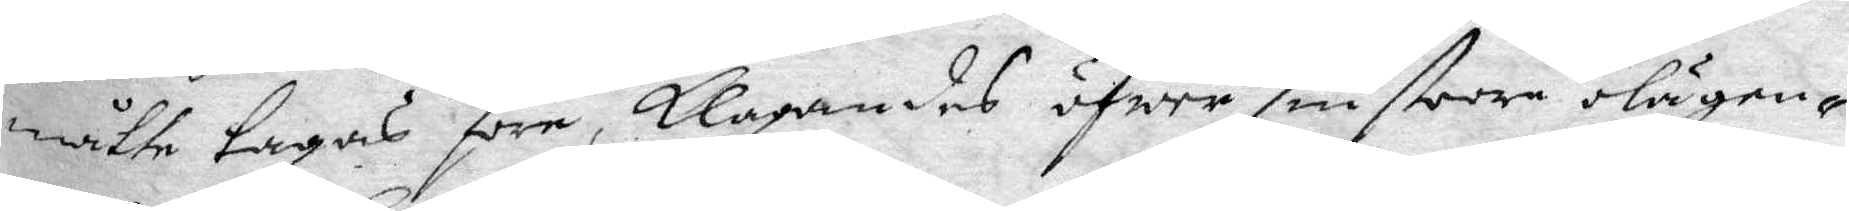måtte tagas före, klagandes öfwer sin stoore olägen¬
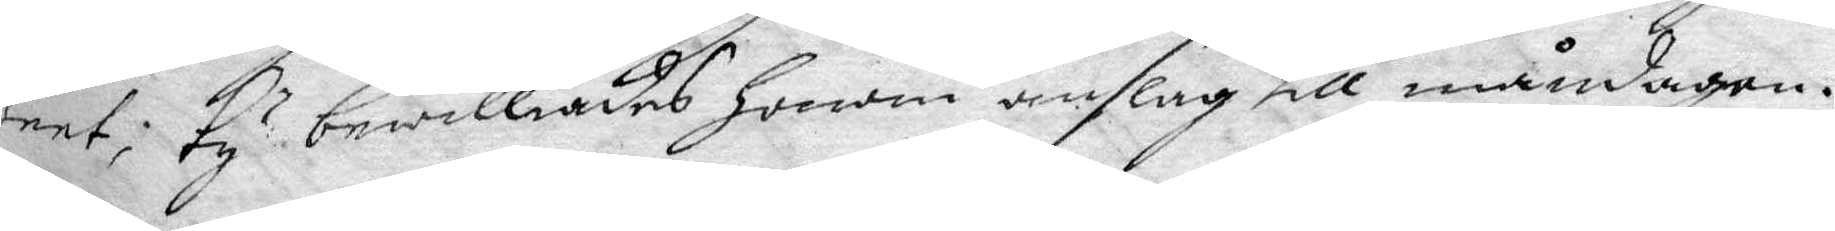heet, ty bewilliades honom anslag till måndagen.
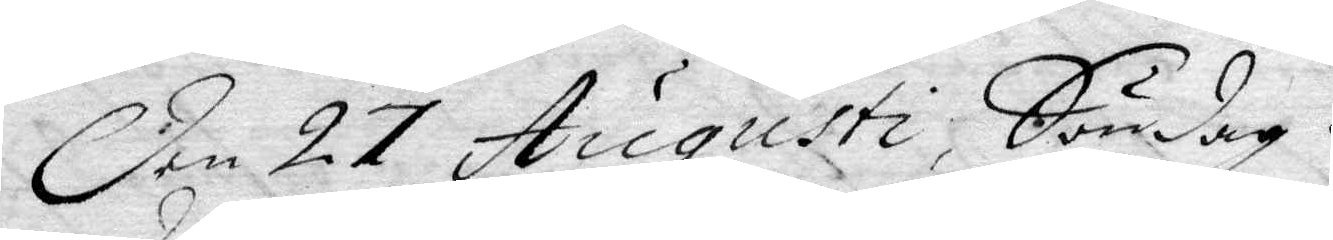Den 27 Augusti, Söndag
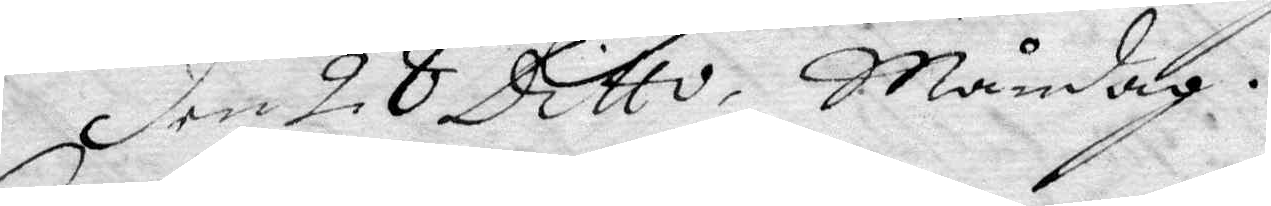Den 28 Dito, Måndag.
